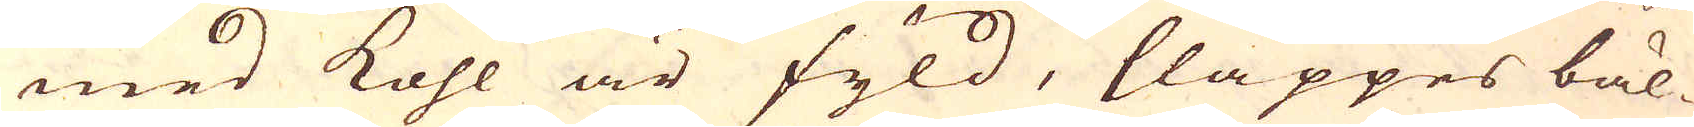med kohl är fyld, släppes bäl-
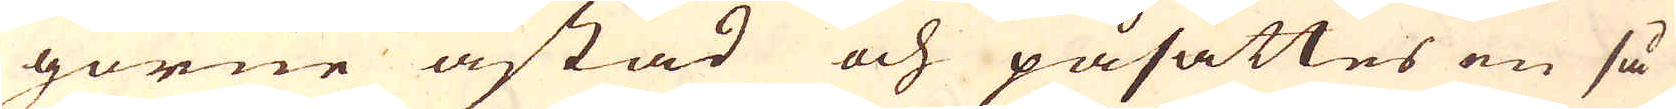gorne åstad och påsättes en så
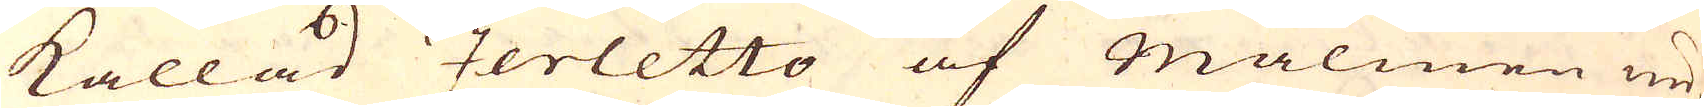kallad zerletto af Malmen un-
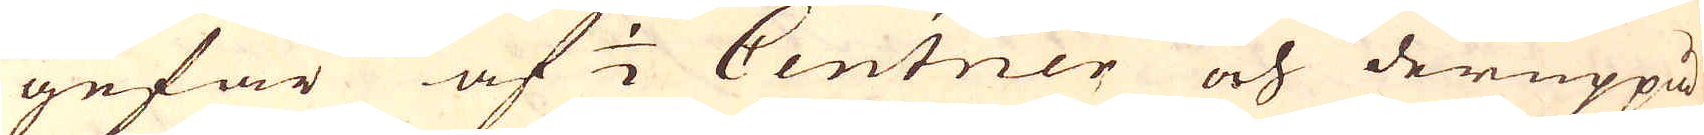gefär af 1/2 Centner och deruppå
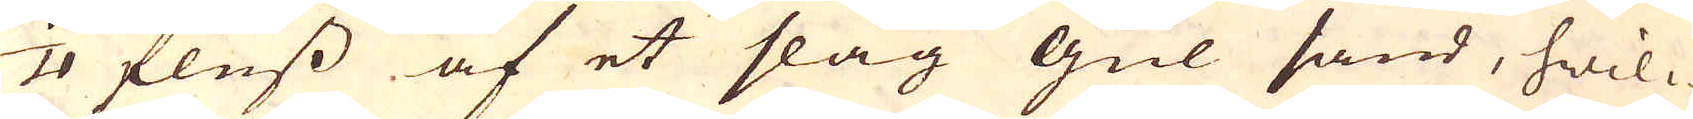1/4 fluss af et slag gul sand, hwil-
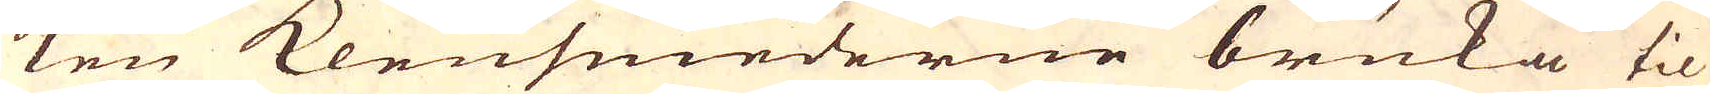ken Klensmederne bruka til
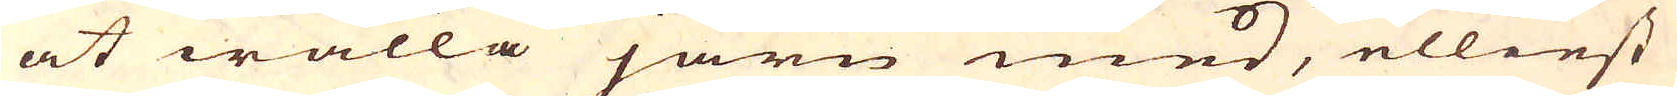at wälla järn med, elliest
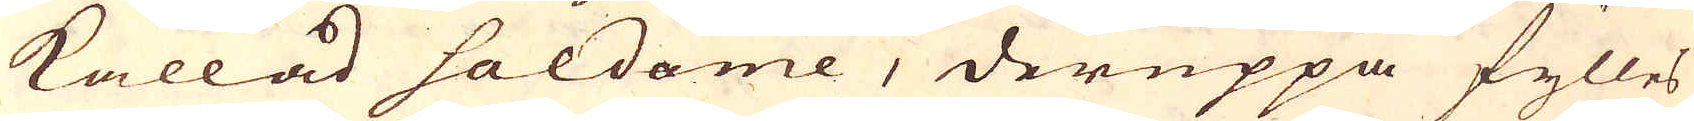kallad Saldome, deruppå fylles
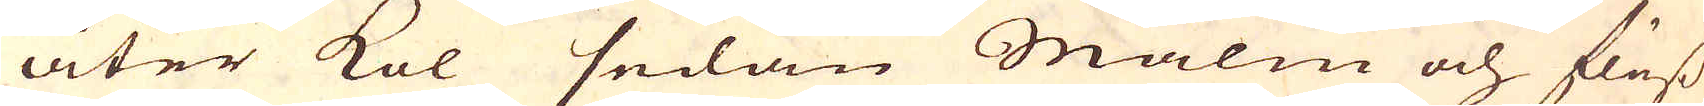åter kol sedan Malm och fluss
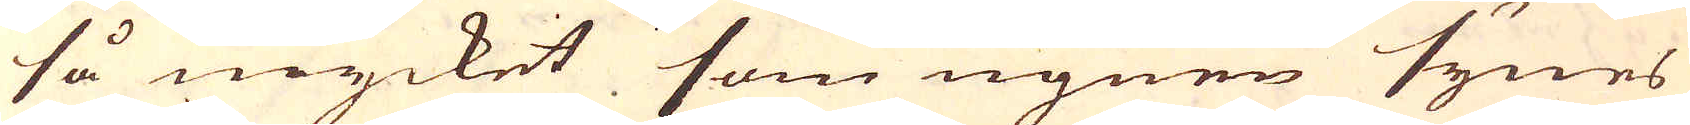så mycket som ugnen synes
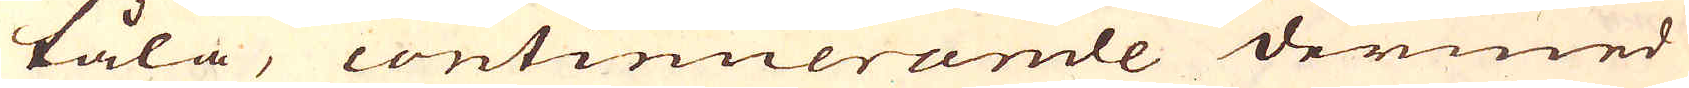tåla, continuerande dermed
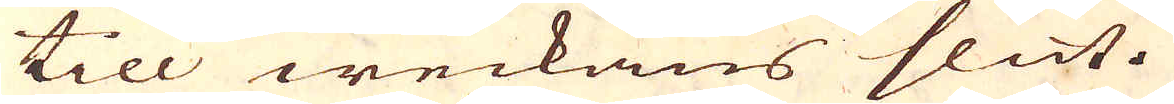till weckans slut.
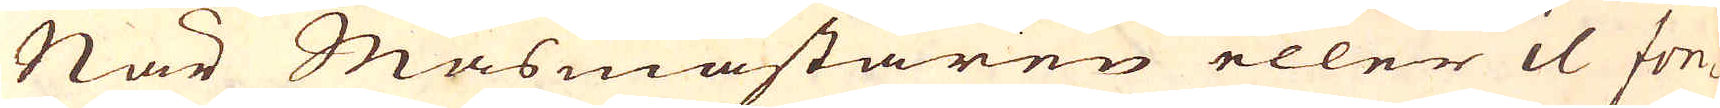När Masmästaren eller il fon-
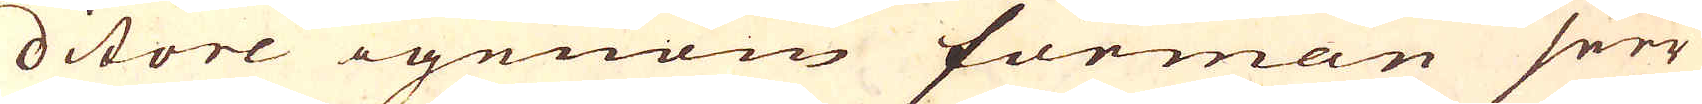ditore igenom forman seer
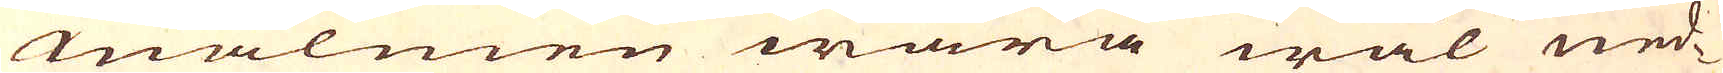malmen wara wäl ned-
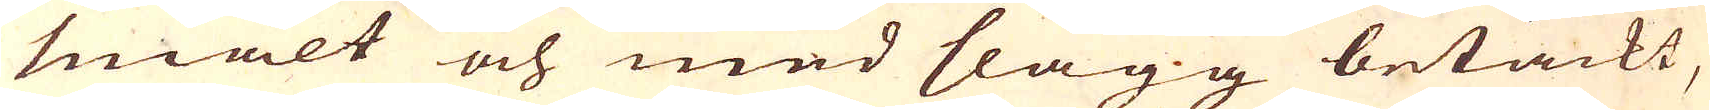smält och med slagg betäckt,
